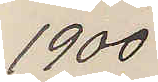1900
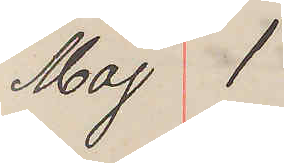Maj 1
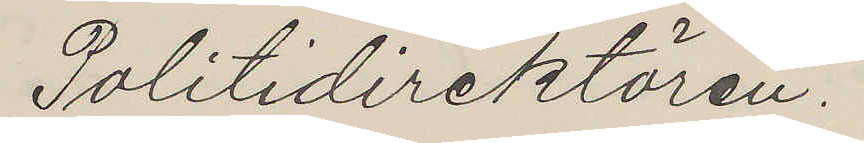Politidirektören.
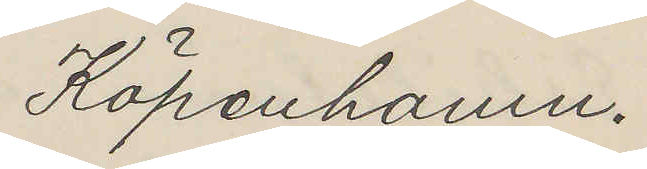Köpenhamn.
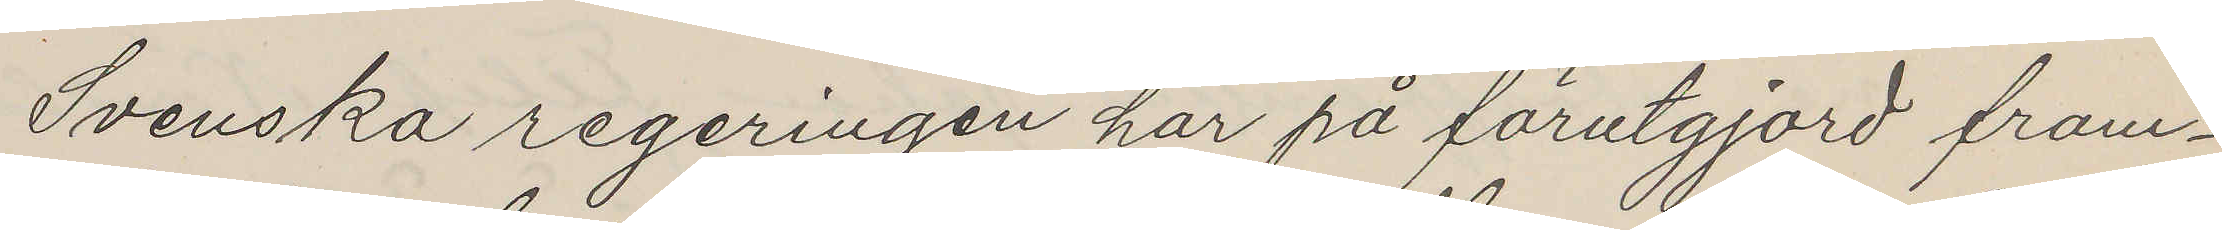Svenska regeringen har på förutgjord fram¬
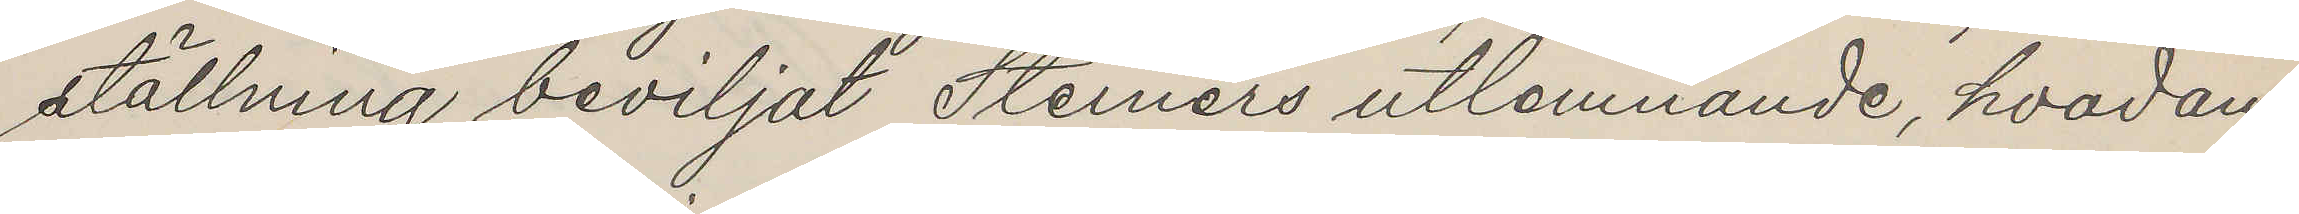ställning beviljat Steiners utlemnande, hvadan
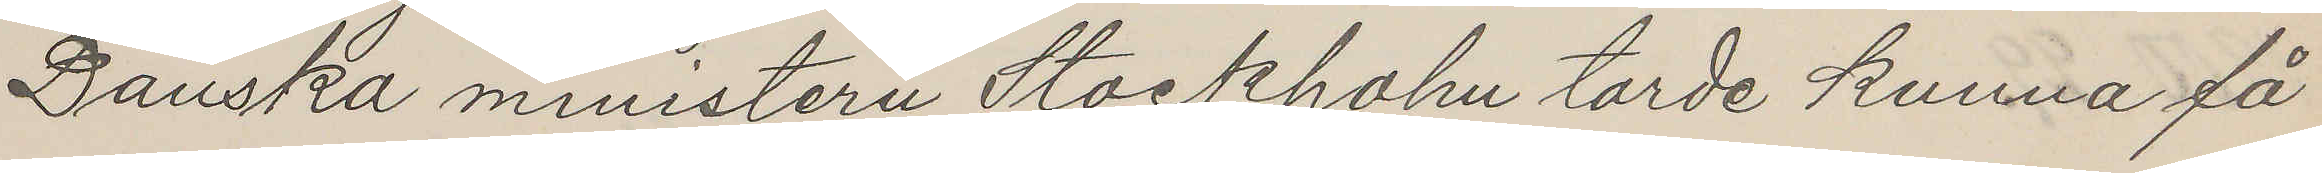Danska ministern Stockholm torde kunna få
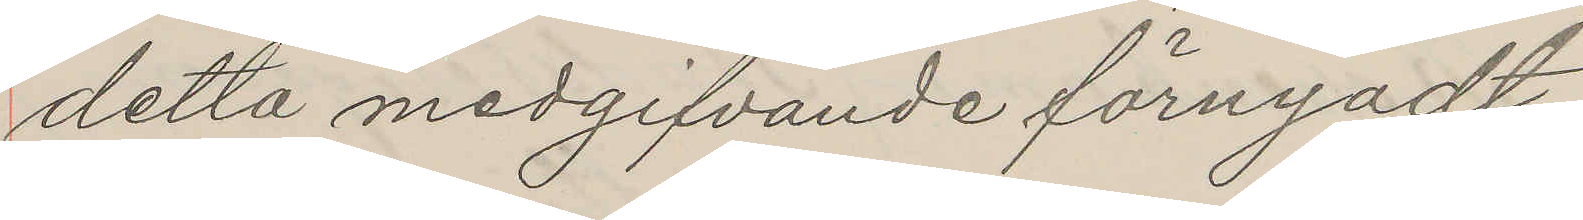detta medgifvande förnyadt.
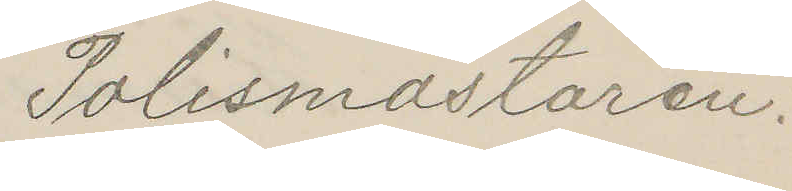Polismästaren.
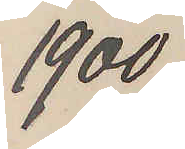1900.
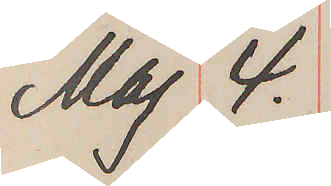Maj 4.
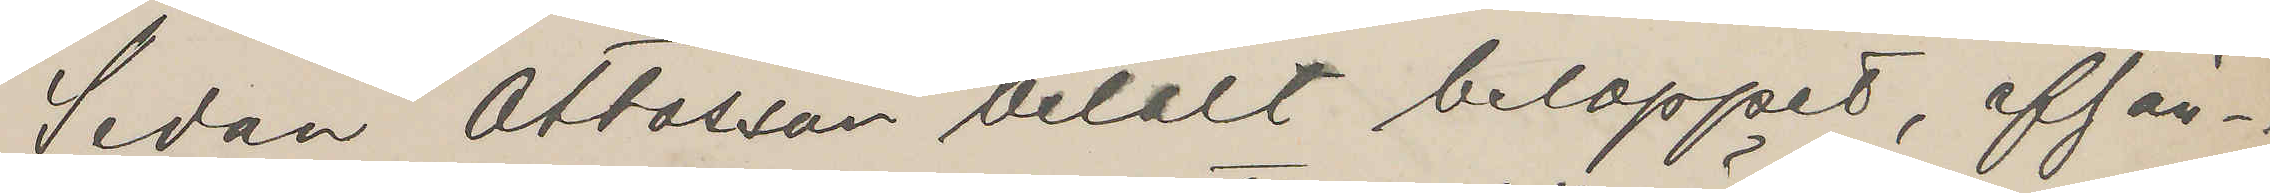Sedan Ottosson betalt beloppet, afför¬
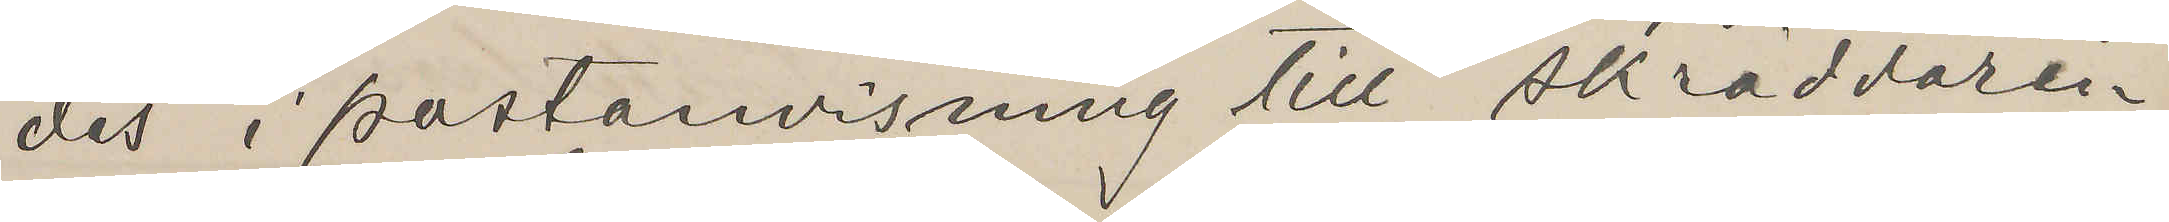des i postanvisning till skräddaren
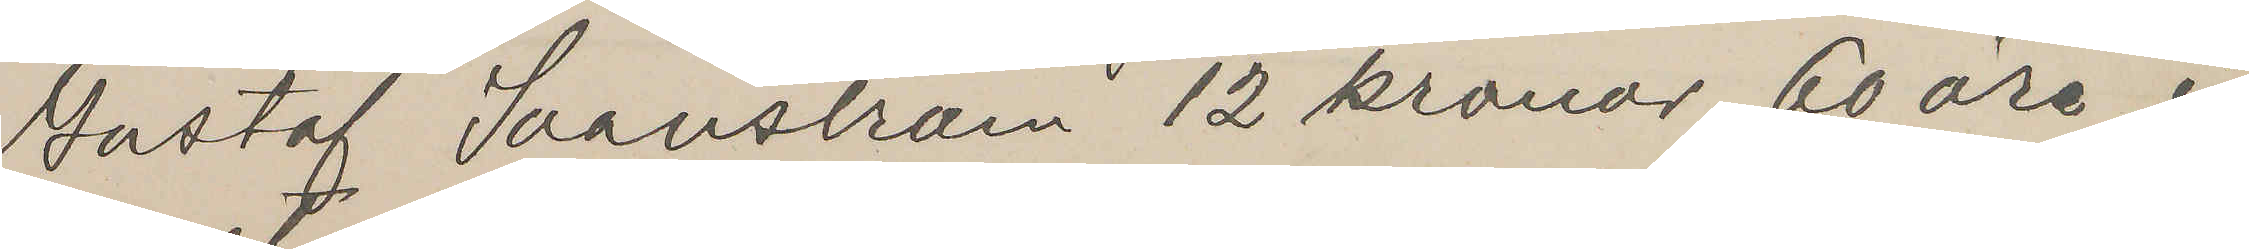Gustaf Svanström 12 kronor, 60 öre i
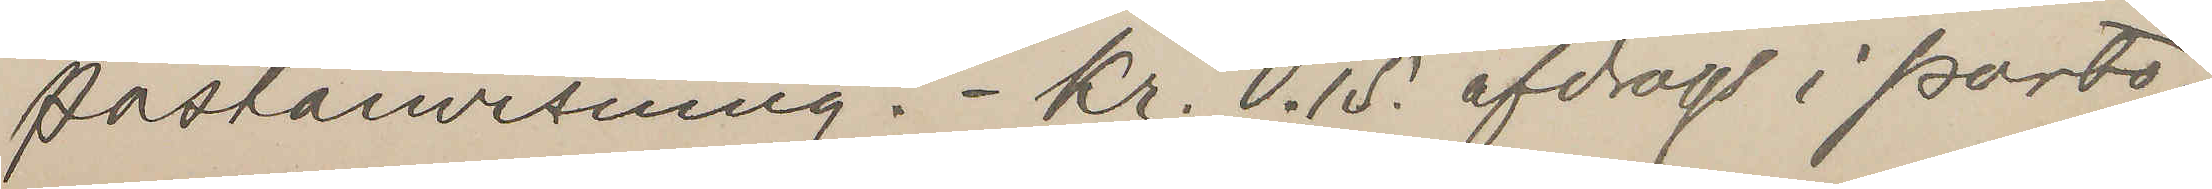postanvisning. - Kr. 0.15. afdrogs i porto.
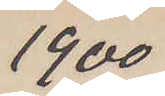1900
